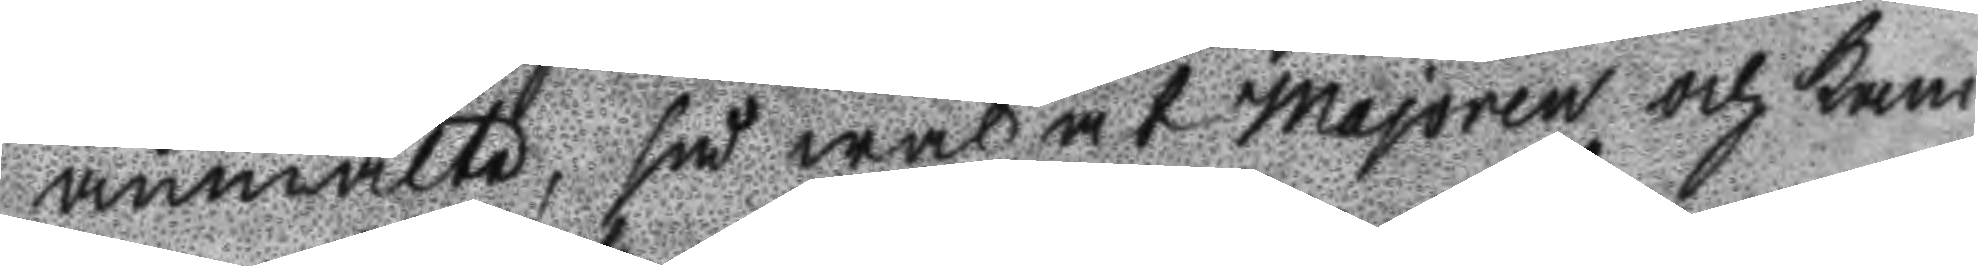anmälte, så wäl at Majoren och Kam
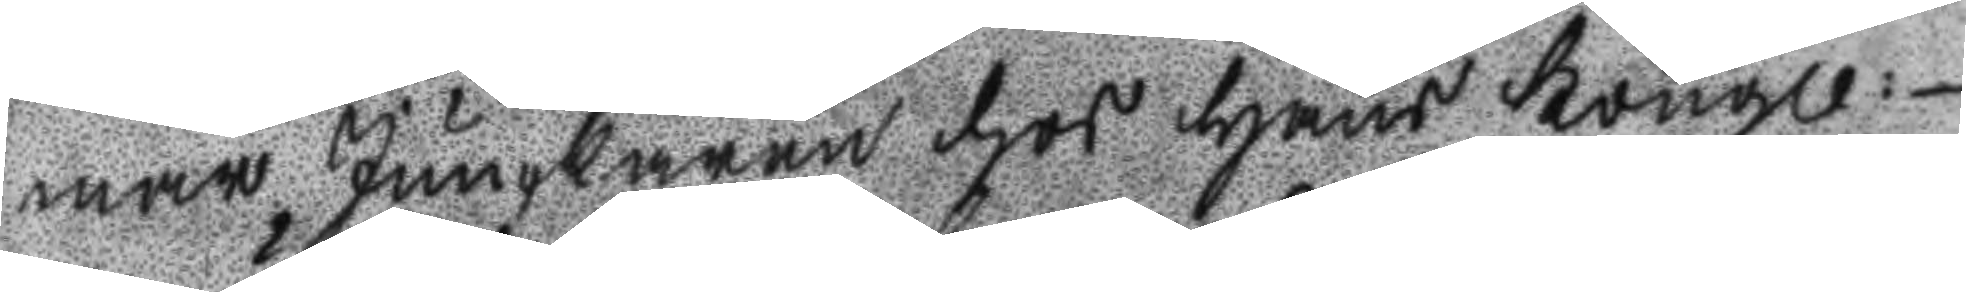mar Junckaren hos hans Kongl:
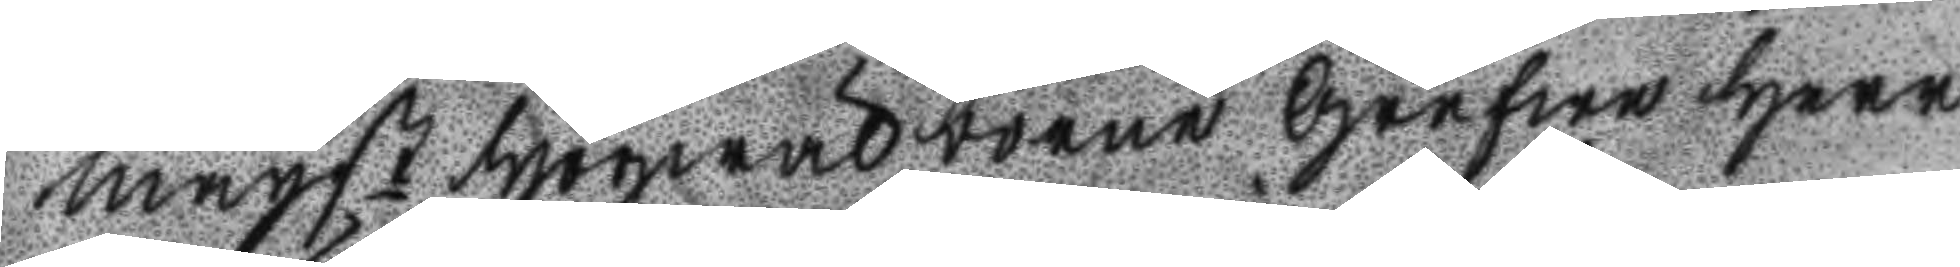mayst Högwälborne grefwe Herr
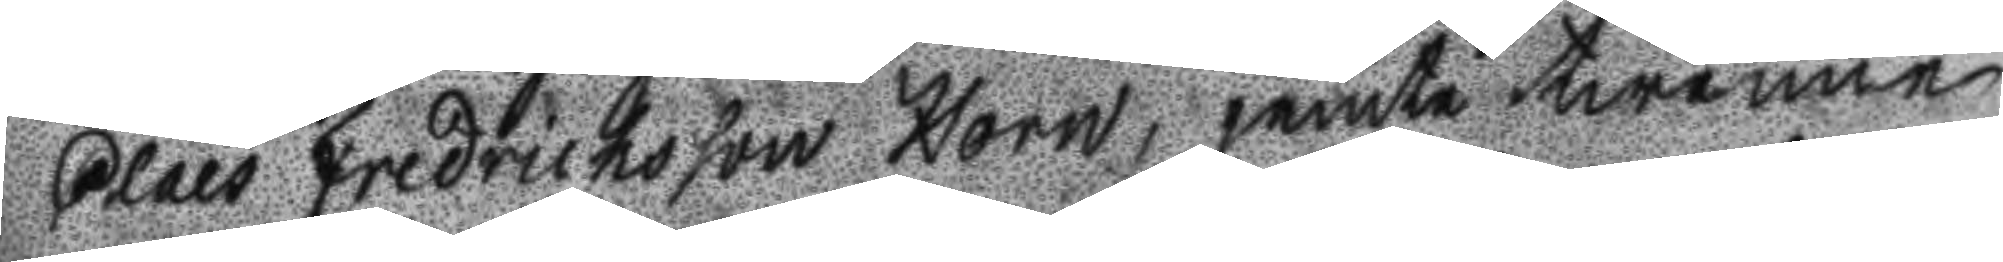Claes fredrichsson Horn, jemte twenne
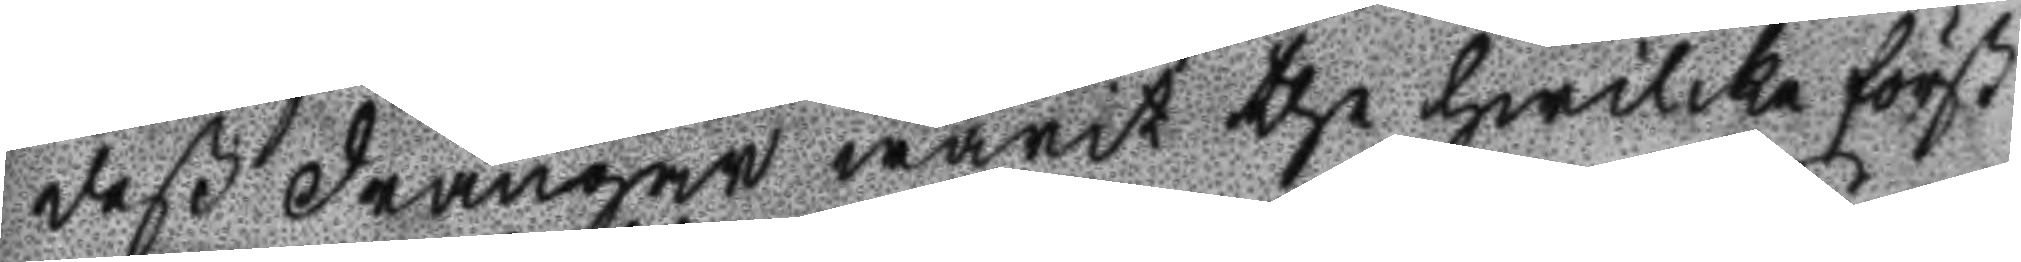deß drängar warit the hwilka först
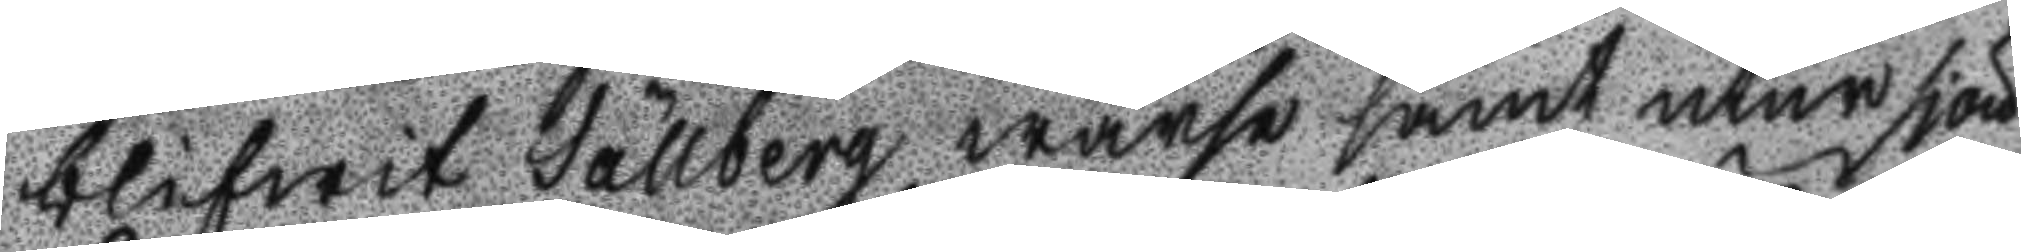blifwit Sällberg warse samt utur sjön
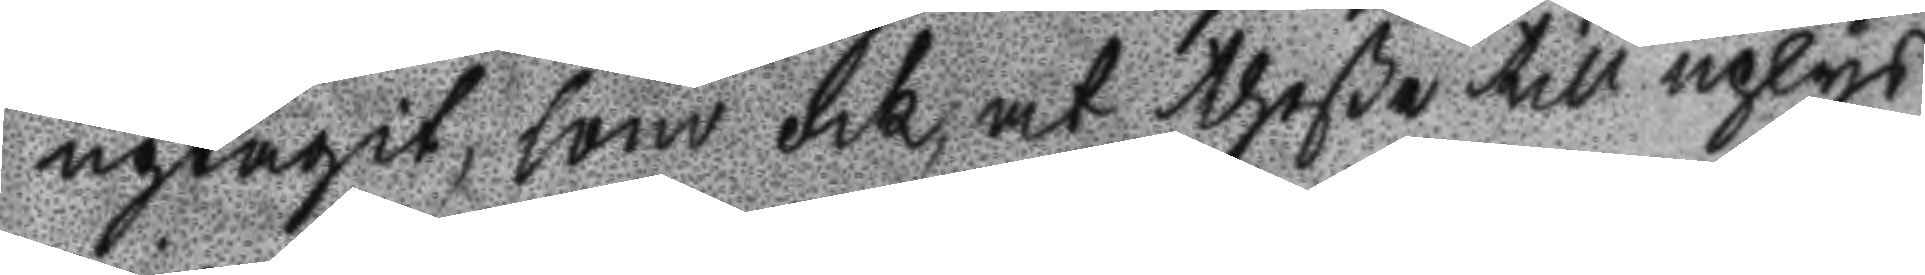uptagit, som ock, at theße till uplys
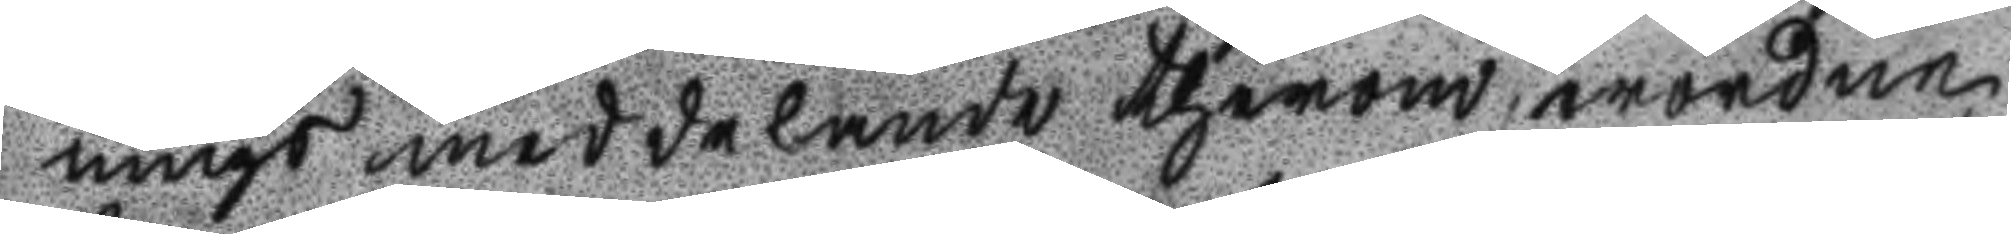nings meddelande therom worden
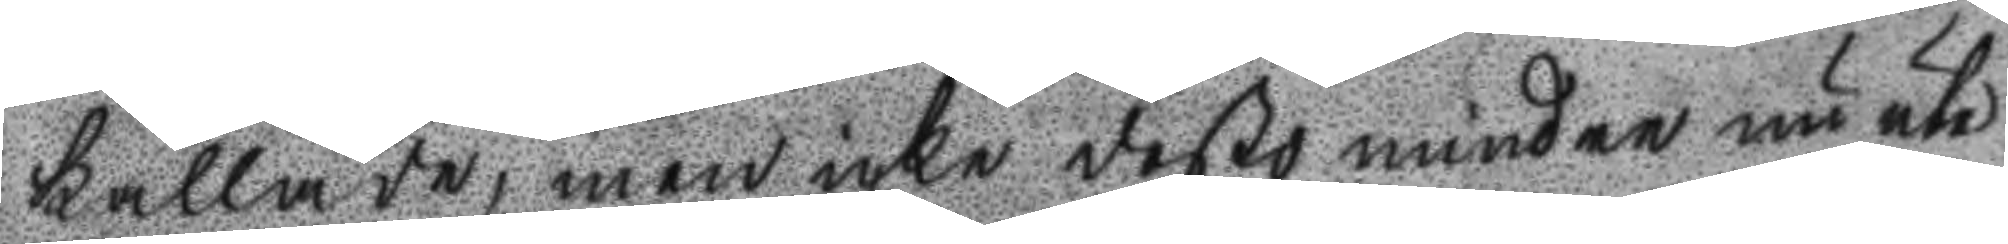kallade, men icke desto mindre nu ute
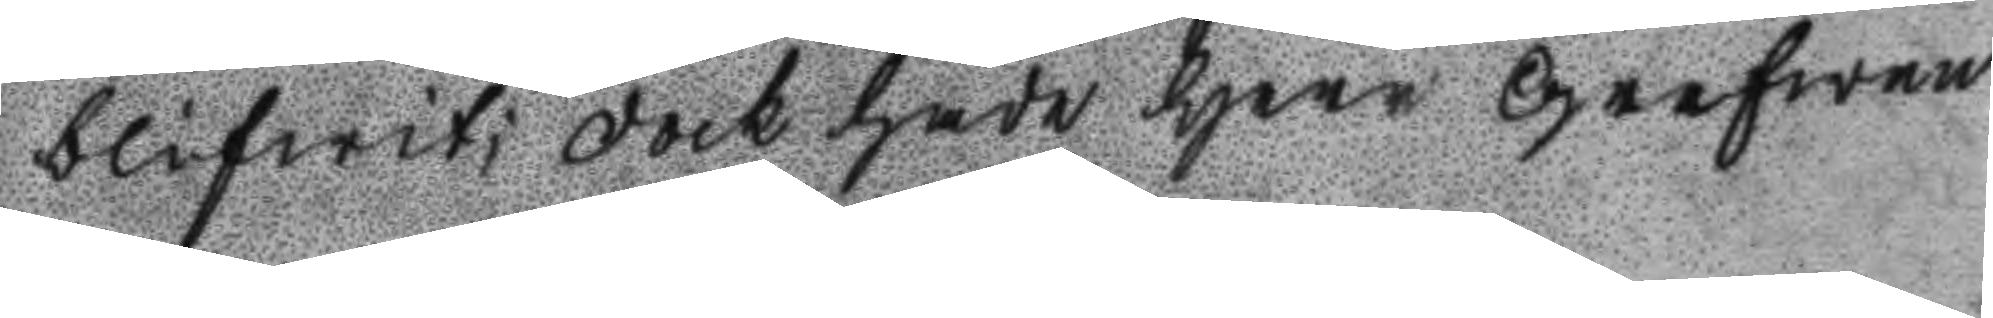blifwit; Dock hade Herr Grefwen
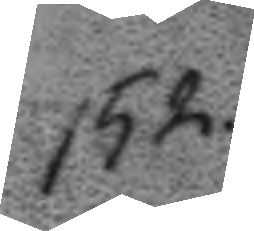152.
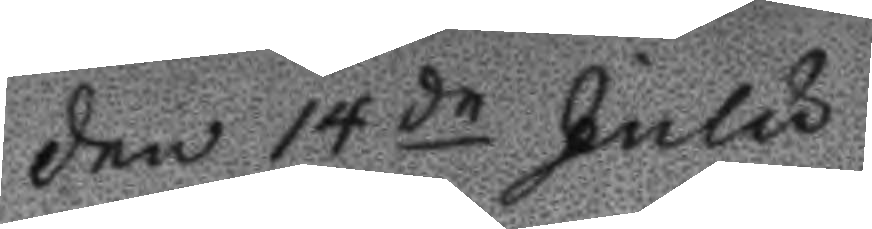den 14de Julu
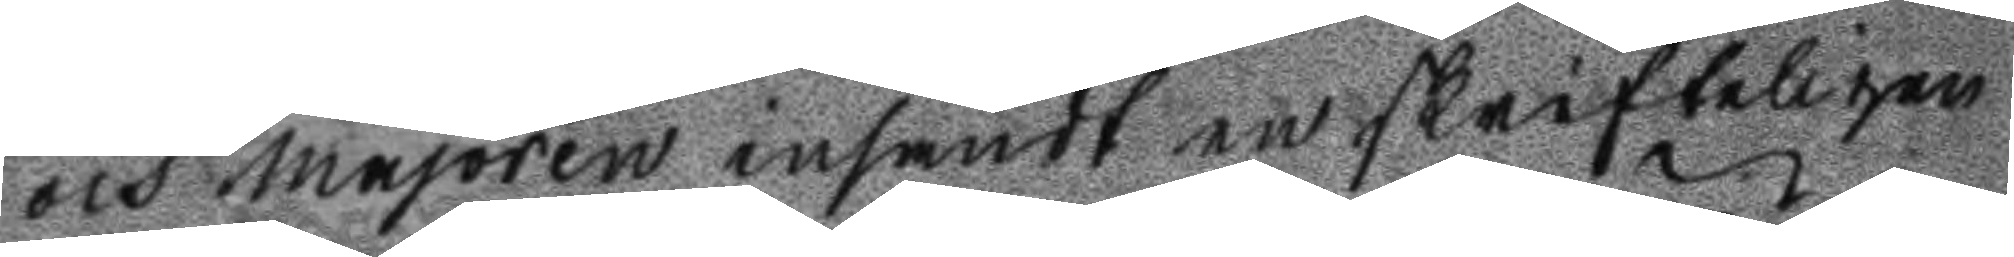och Majoren insändt en skrifteligen
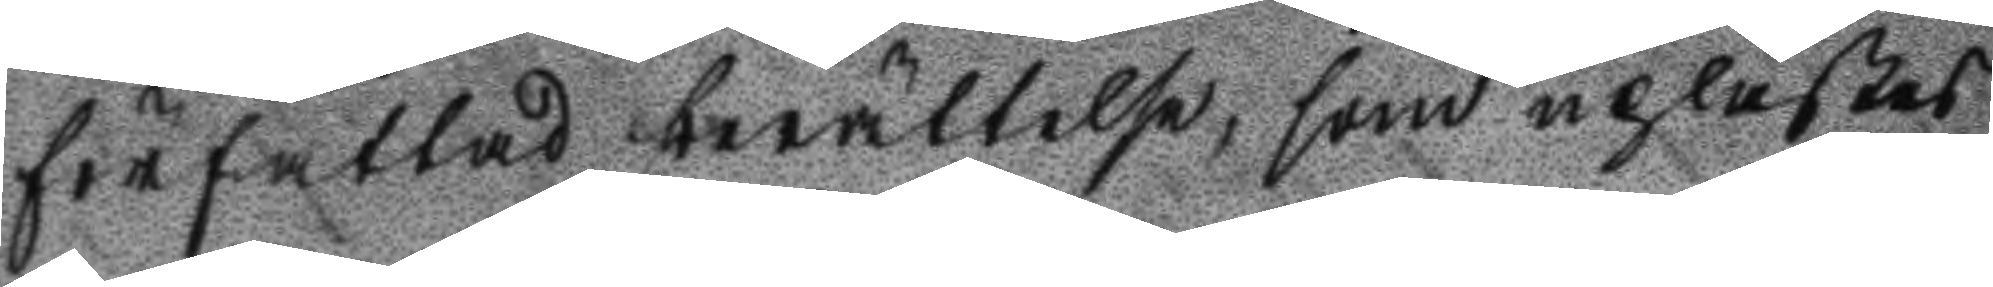författad berättelse, som uplästes
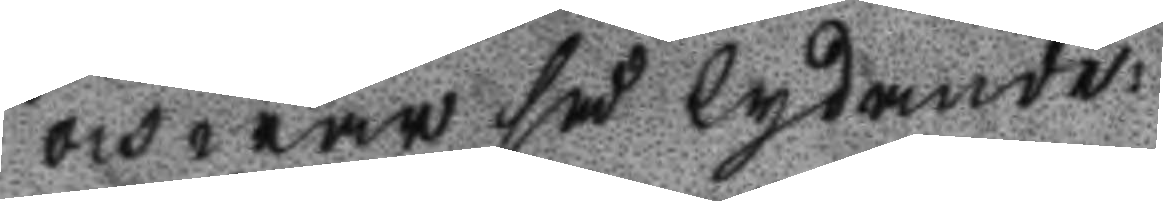och war så lydande:
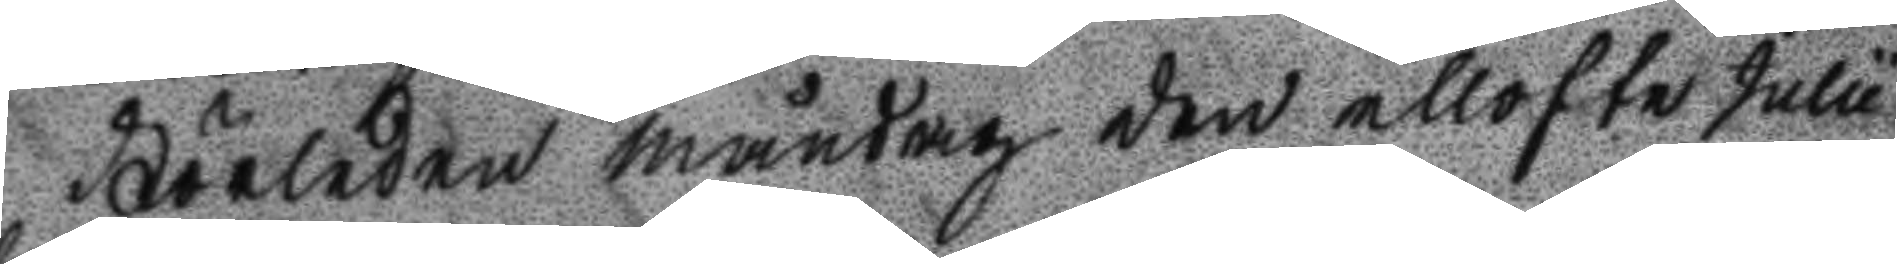Förleden måndag den ellofte Julu
